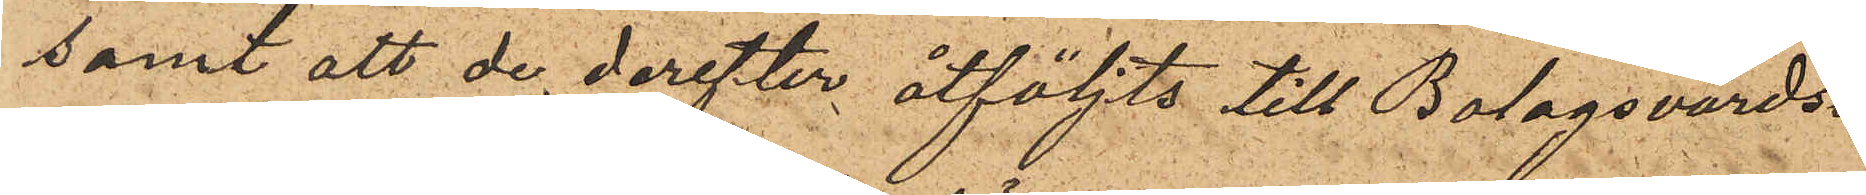samt att de derefter åtföljts till Bolagsvärds¬
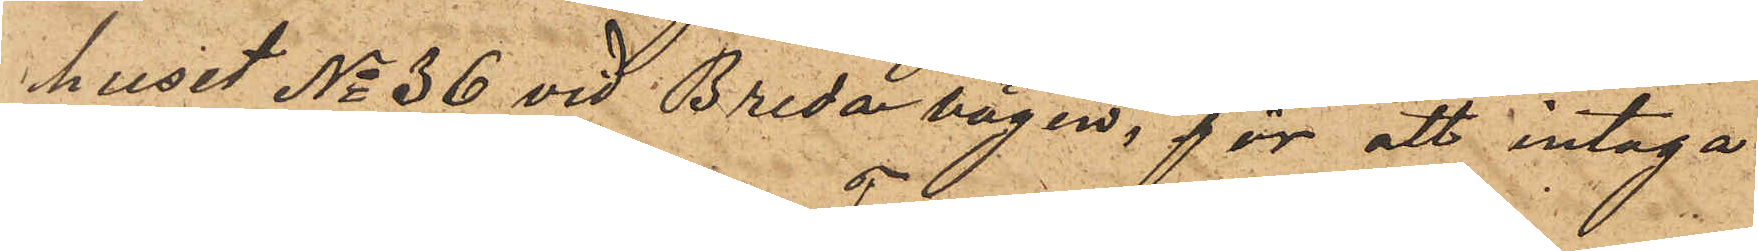huset No 36 vid Breda vägen, för att intaga
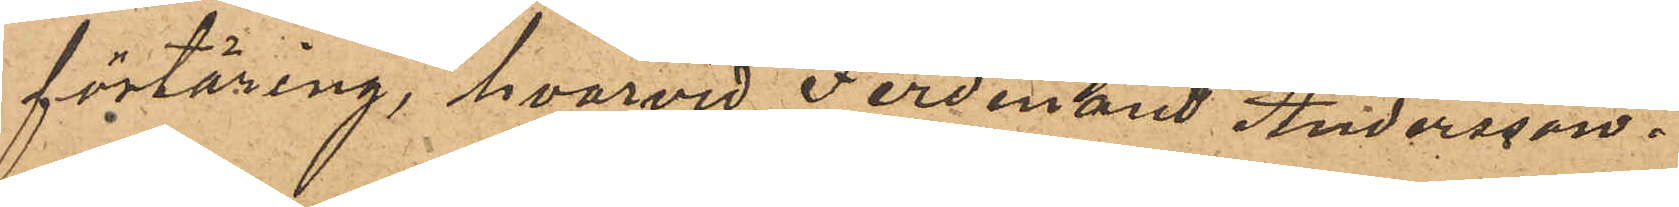förtäring, hvarvid Ferdinand Andersson
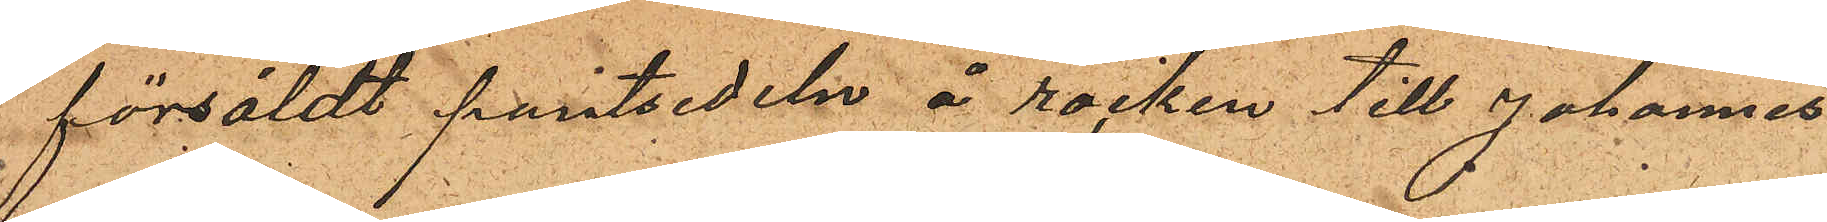försåldt pantsedeln å rocken till Johannes
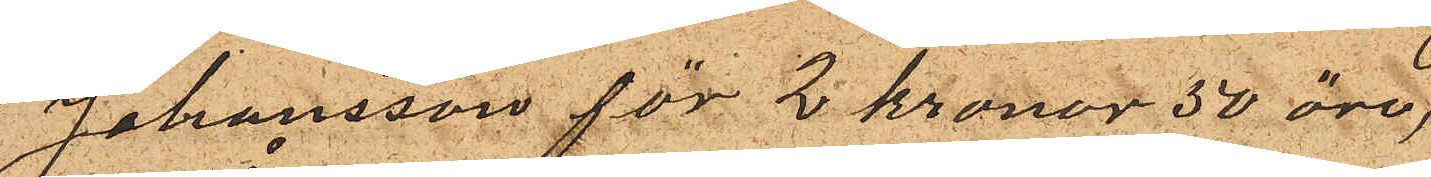Johansson för 2 kronor 50 öre,
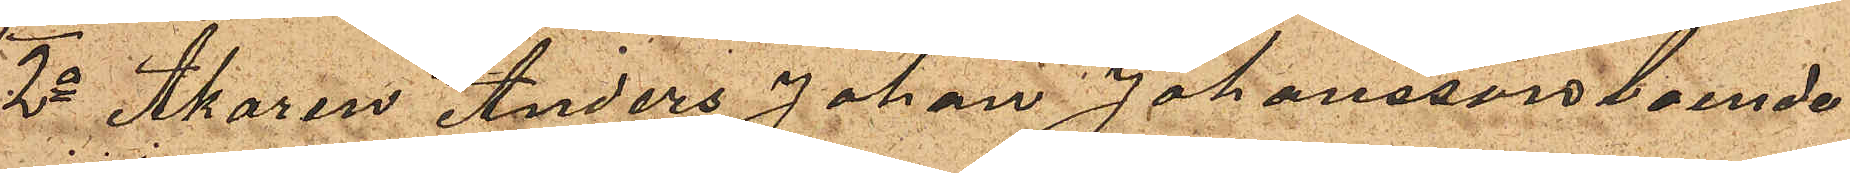2o Åkaren Anders Johan Johansson boende
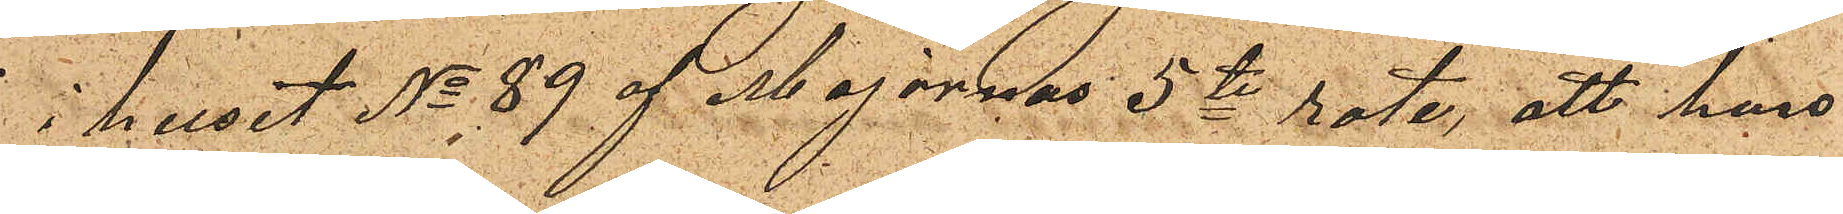i huset No 89 af Majornas 5te rote, att han
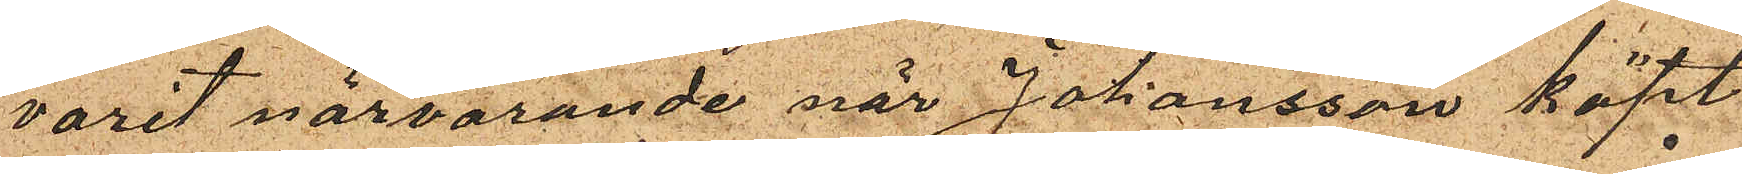varit närvarande när Johansson köpt
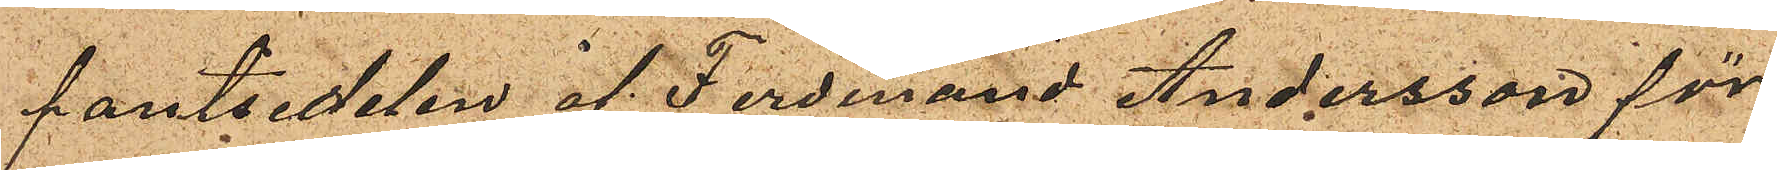pantsedelen af Ferdinand Andersson för
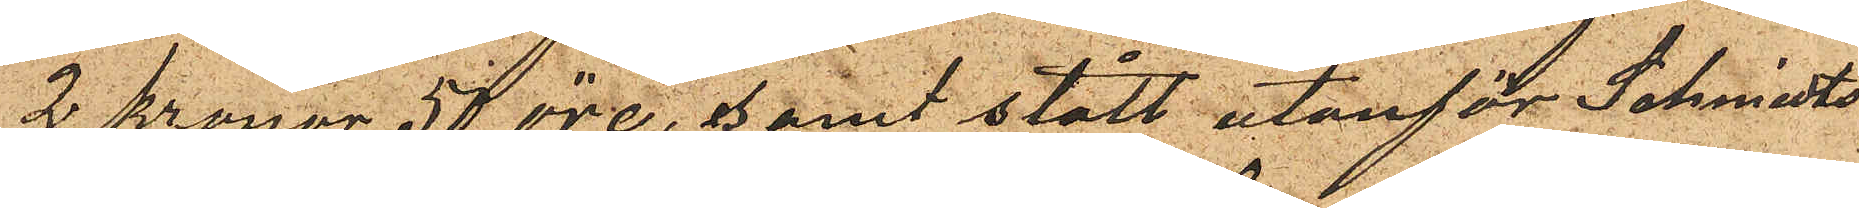2 Kronor 50 öre, samt stått utanför Schmidts
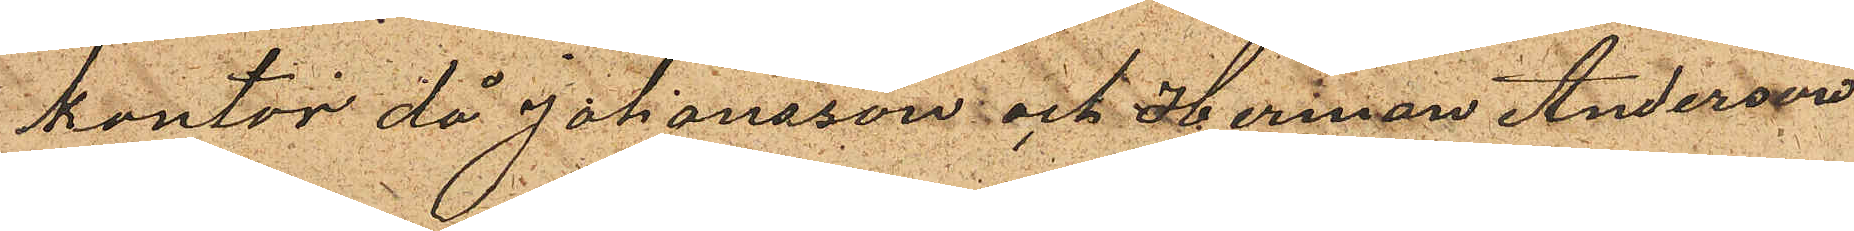kontor då Johansson och Herman Andersson
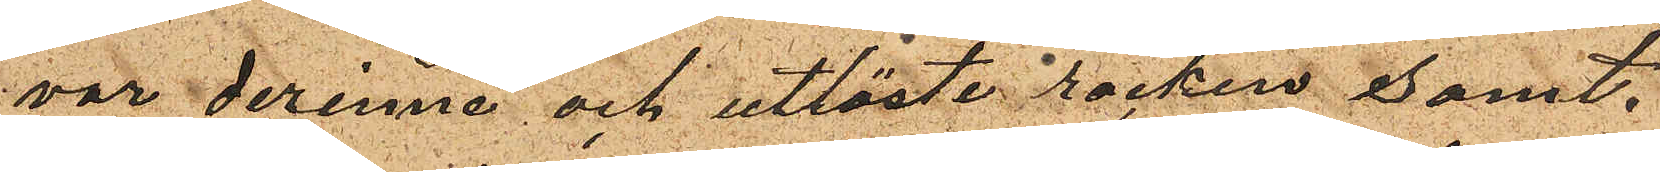var derinne och utlöste rocken samt.
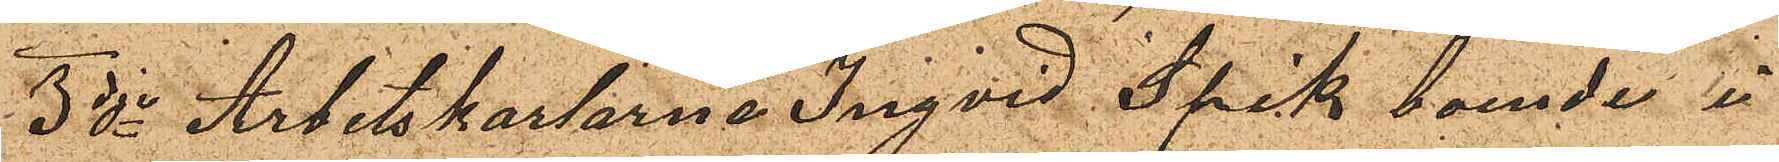3dje Arbetskarlarne Ingvid Spik boende i
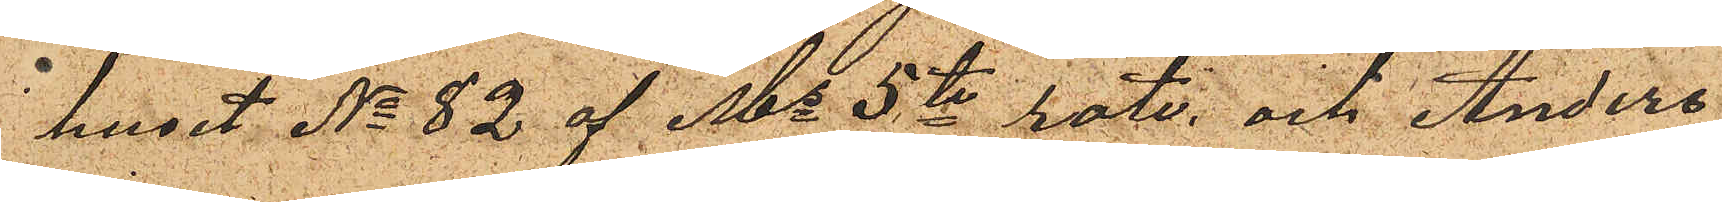huset No 82 af Ms 5te rote, och Anders
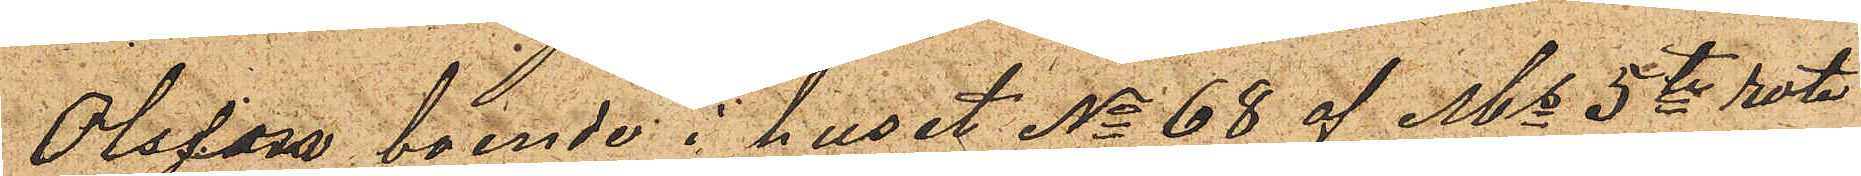Olsson, boende i huset No 68 af Ms 5te rote
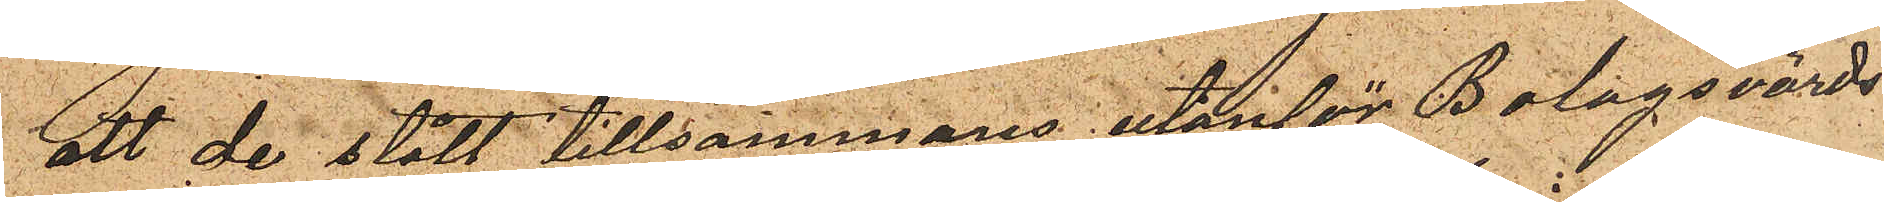att de stått tillsammans utanför Bolagsvärds¬
